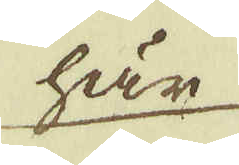här
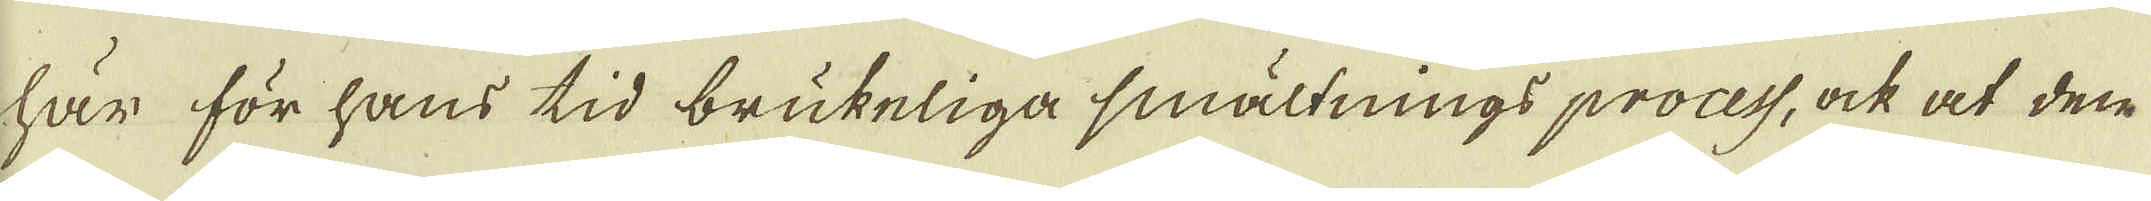här för hans tid brukeliga smältnings process, ock at den
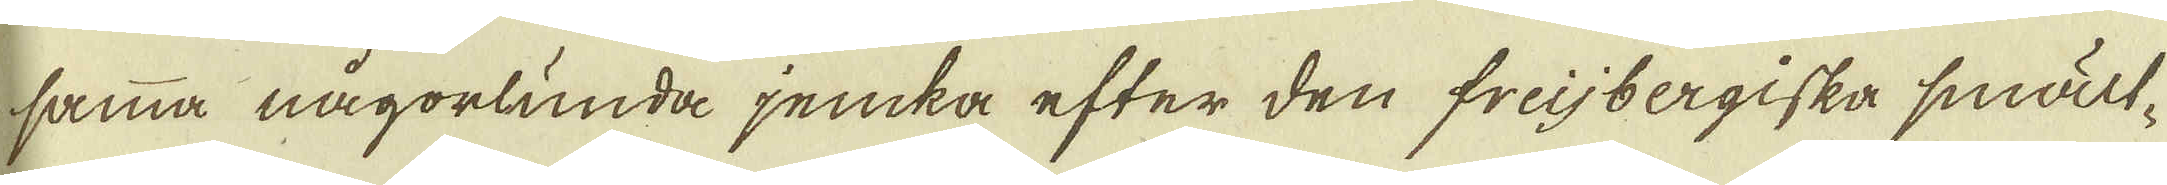samma någorlunda jemka efter den freijbergiska smält-
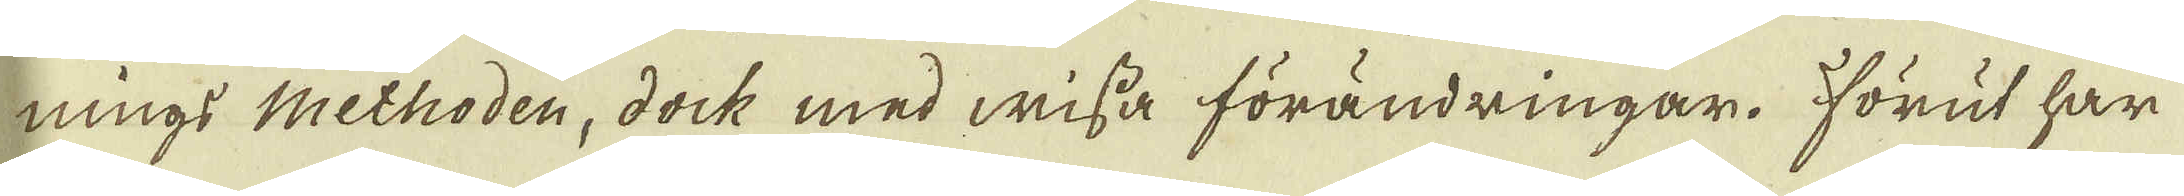nings methoden, dock med wissa förändringar. Förut har
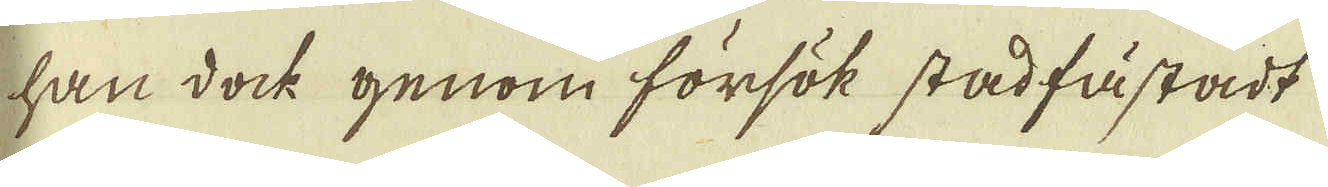han dock genom försök stadfästadt
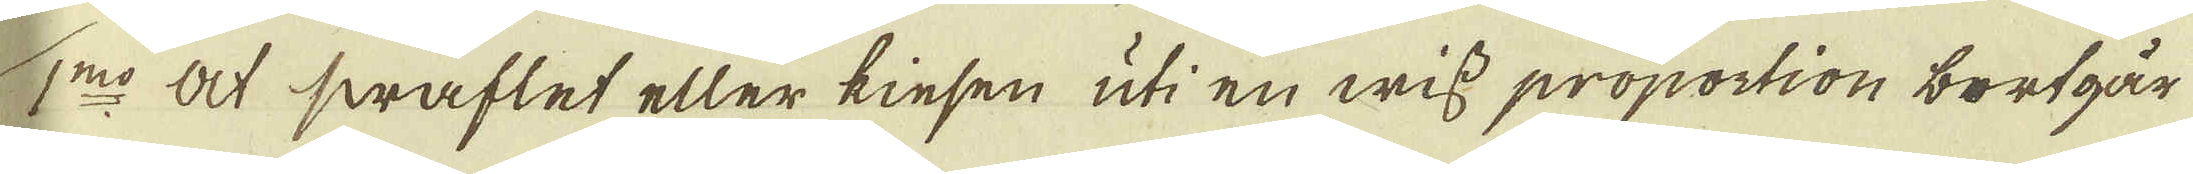1:mo At swaflet eller kiesen uti en wiss proportion bortgår
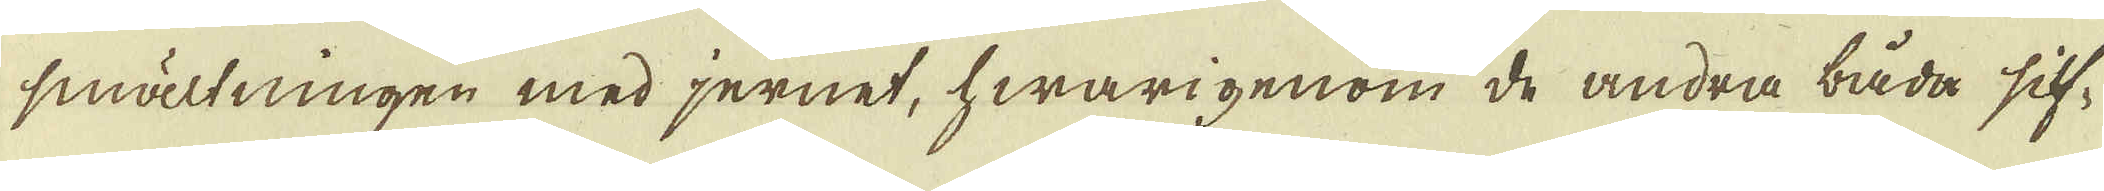i smältningen med jernet, hwarigenom de andra båda silf-
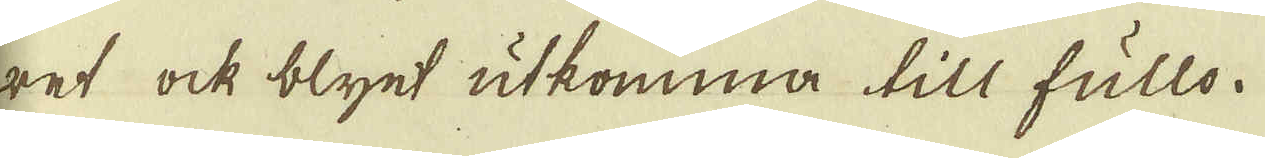ret ock blyet utkomma till fullo.
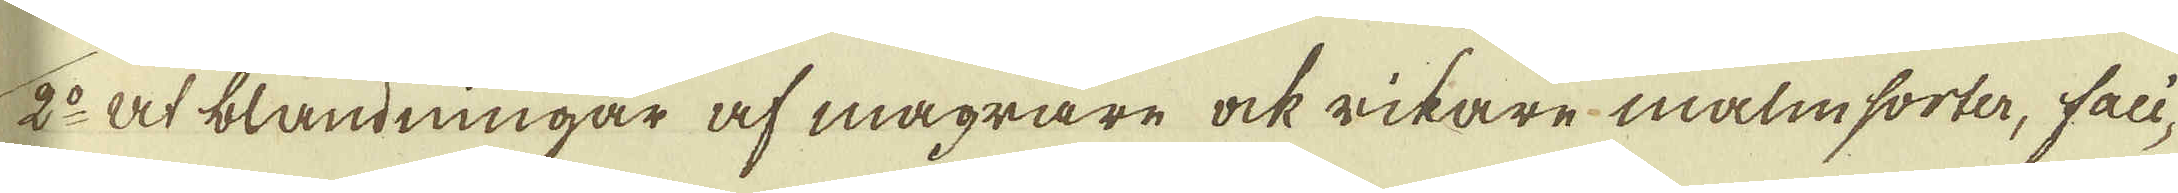2:o At blandningar af magrare ock rikare malmsorter, faci-
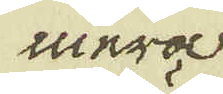mera
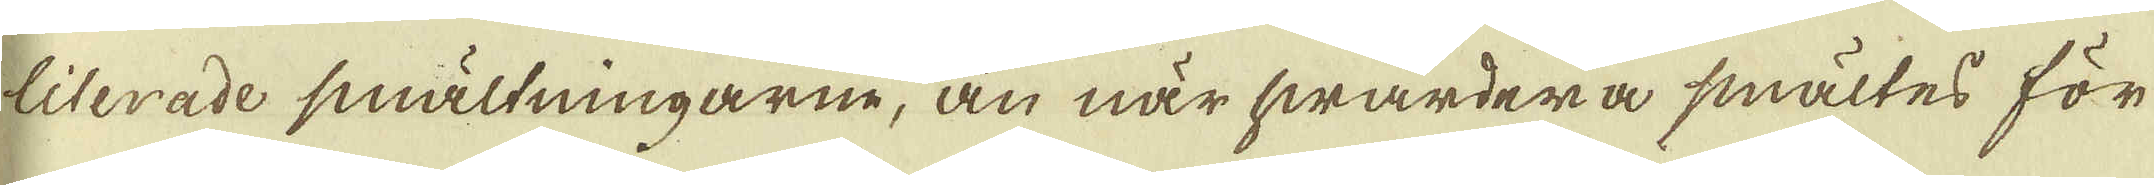literade smältningarne, än när hwardera smältes för
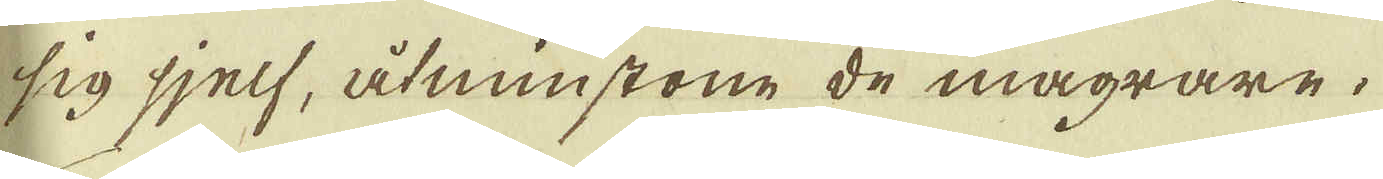sig sjelf, åtminstone de magrare.
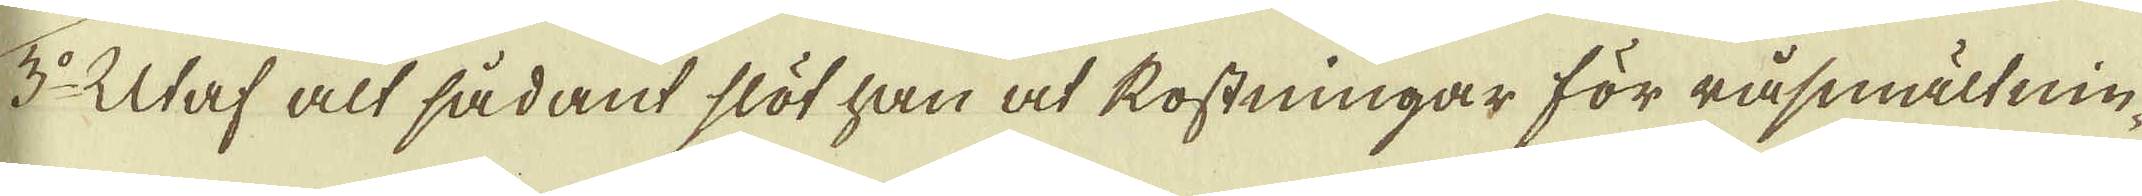3:o Utaf alt sådant slöt han at rostningar för råsmältnin-
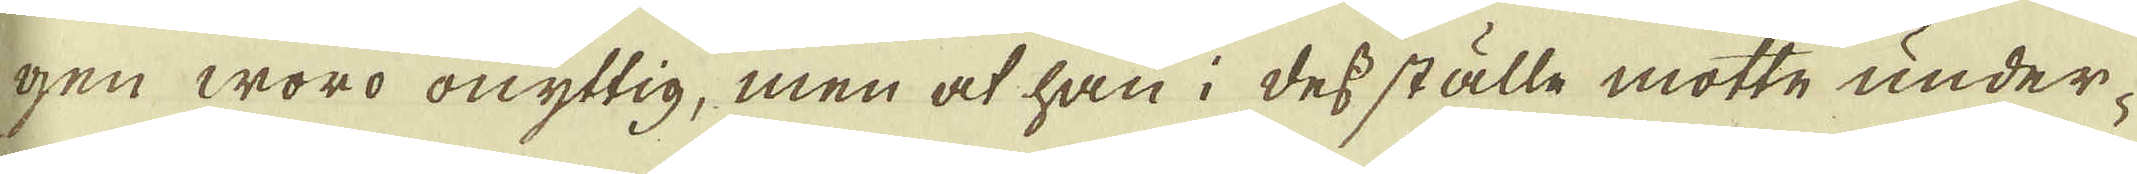gen woro onyttig, men at han i dess ställe motte under-
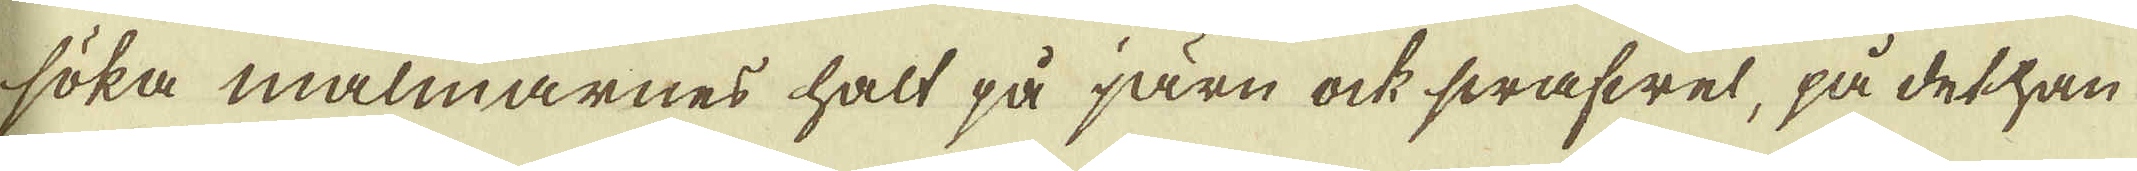söka malmarnes halt på järn ock swafwel, på det han
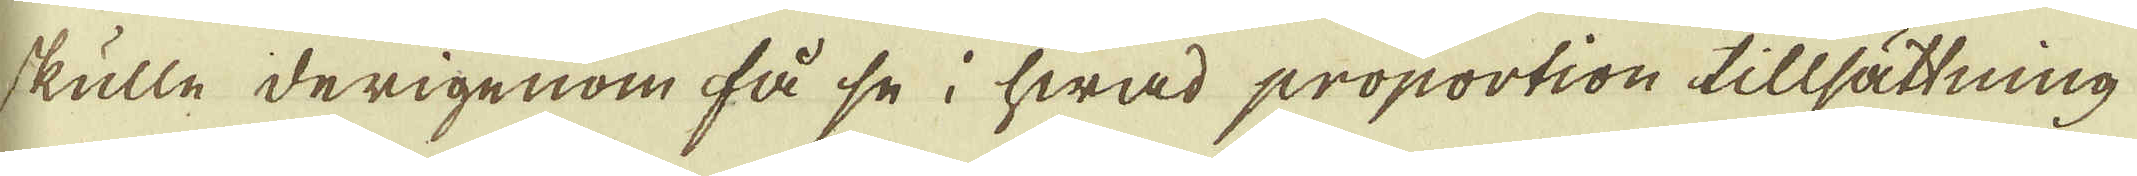skulle derigenom få se i hwad proportion tillsättning
